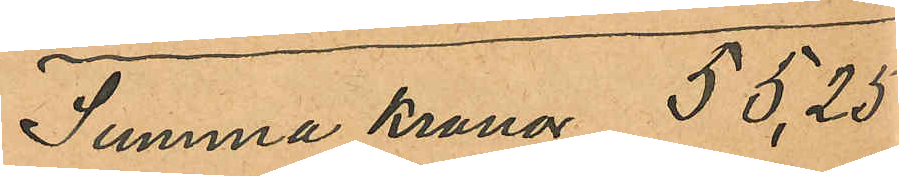Samma Kronor 55,25
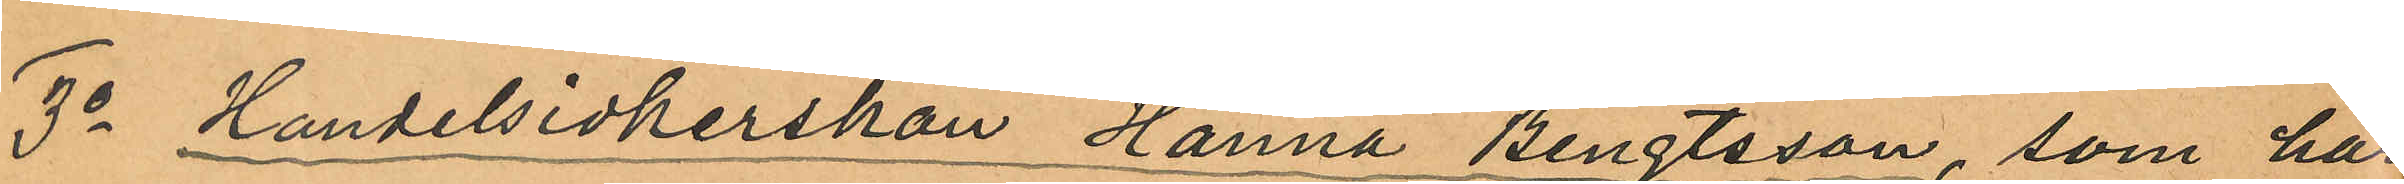3o Handelsidkerskan Hanna Bengtsson, som har
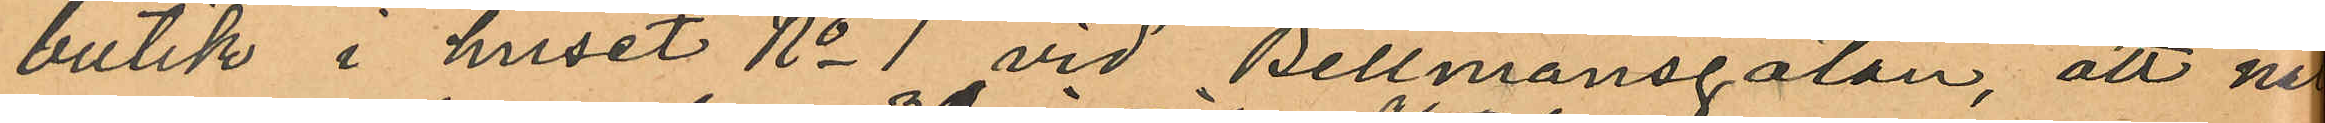butik i huset No 1 vid Bellmansgatan, att na
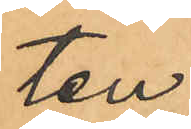ten
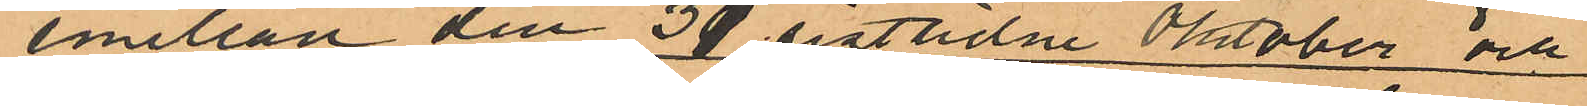emellan den 31 sistlidne Oktober och
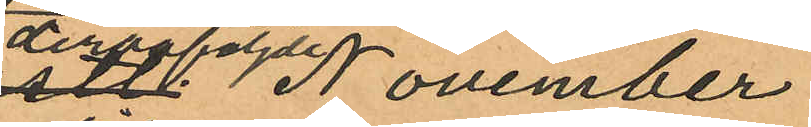derpåföljde November
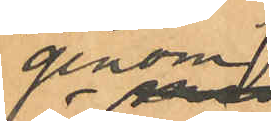genom
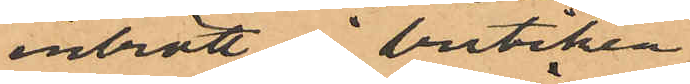inbrott i butiken
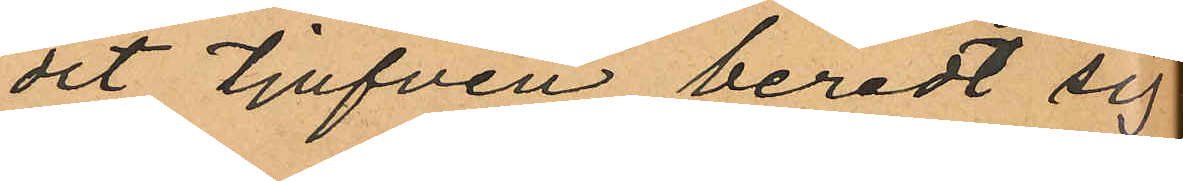dit tjufven beredt sig
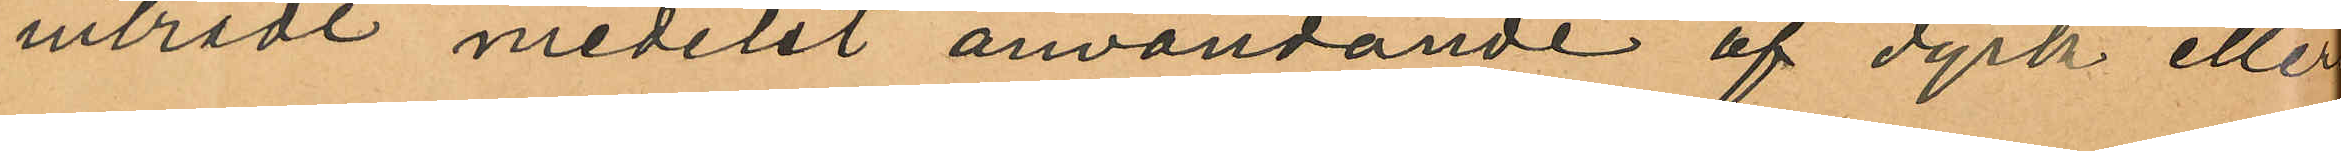inträde medelst användande af dyrk eller
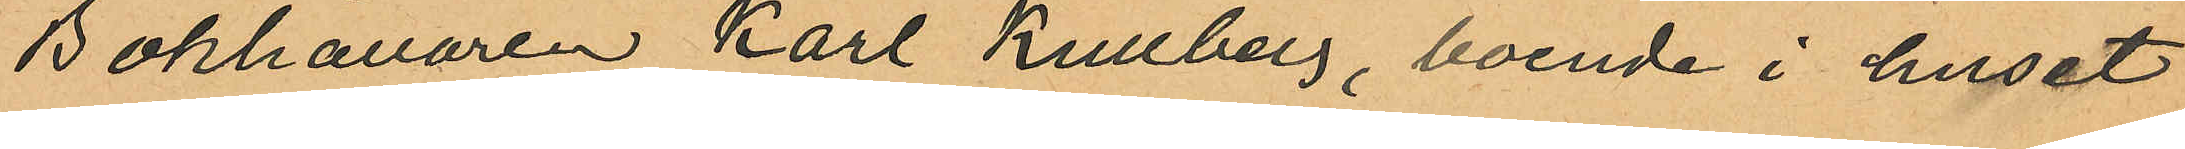Bokhållaren Karl Kullberg, boende i huset
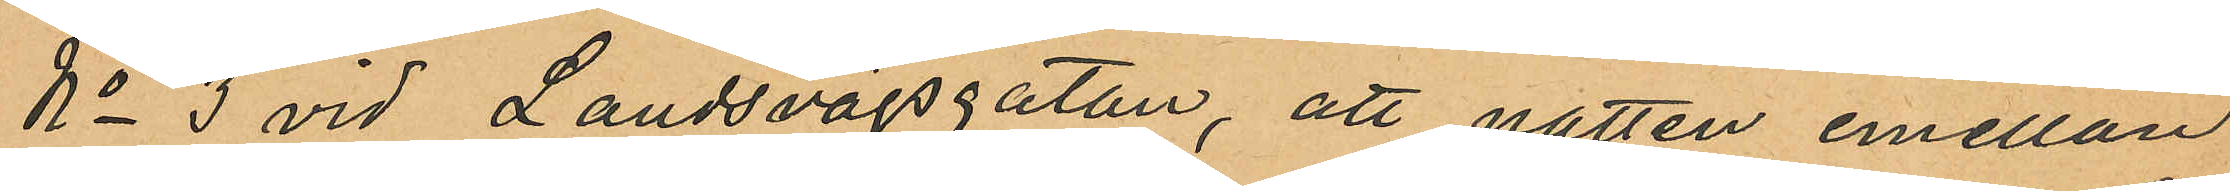No 3 vid Landsvägsgatan, att natten emellan
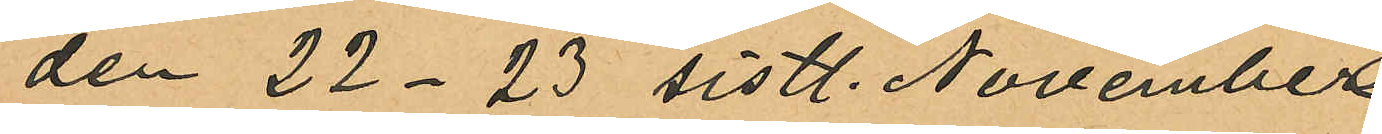den 22-23 sistl. November
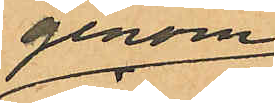genom
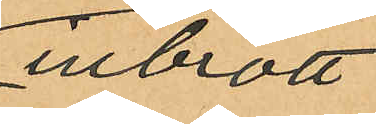inbrott
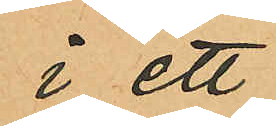i ett
